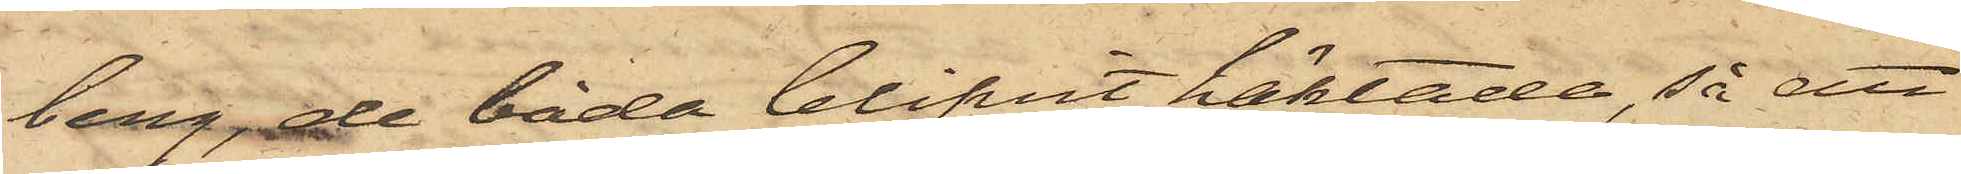berg, de båda blifvit häktade, så att
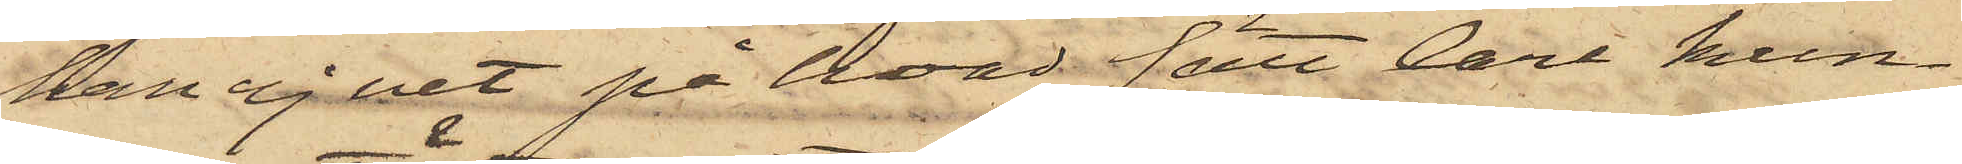han ej vet på hvad sätt Carl kun¬
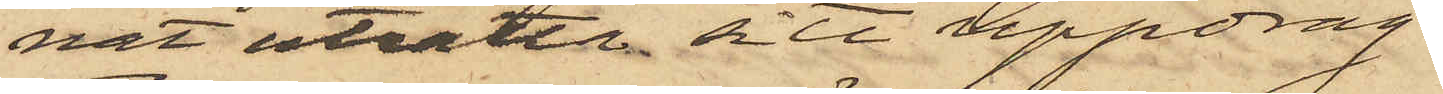nat uträtta sitt uppdrag.
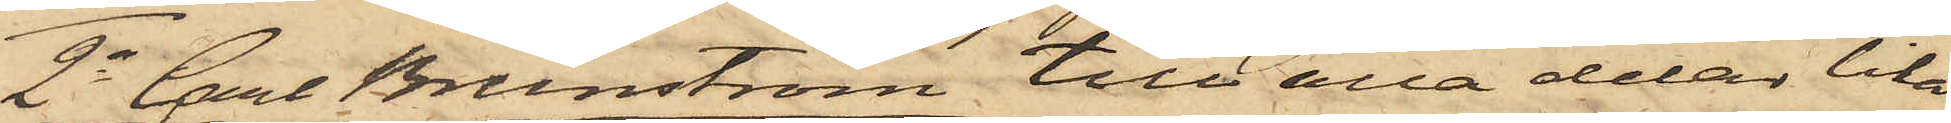2o Carl Brunström till alla delar lika
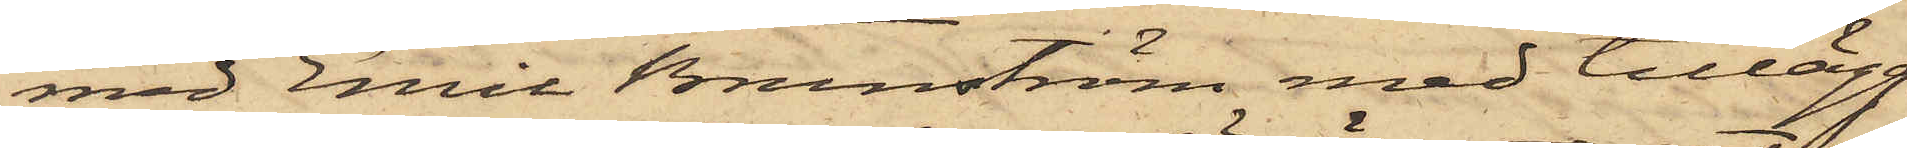med Emil Brunström med tillägg
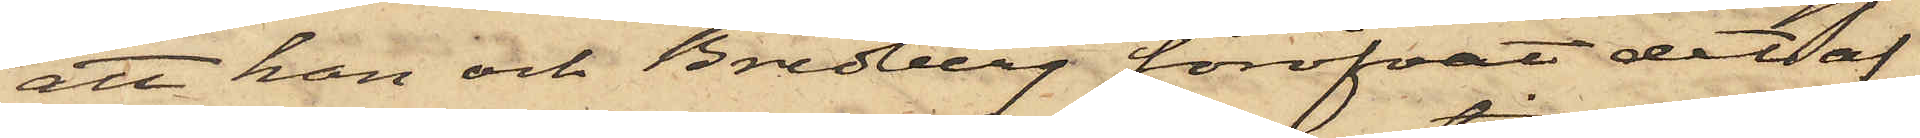att han och Bredberg föröfvat det af
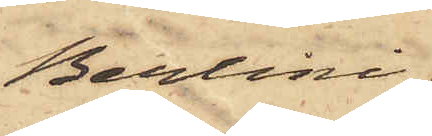Berlini
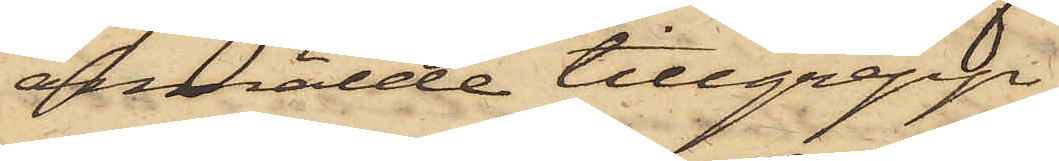anmälde tillgrepp,
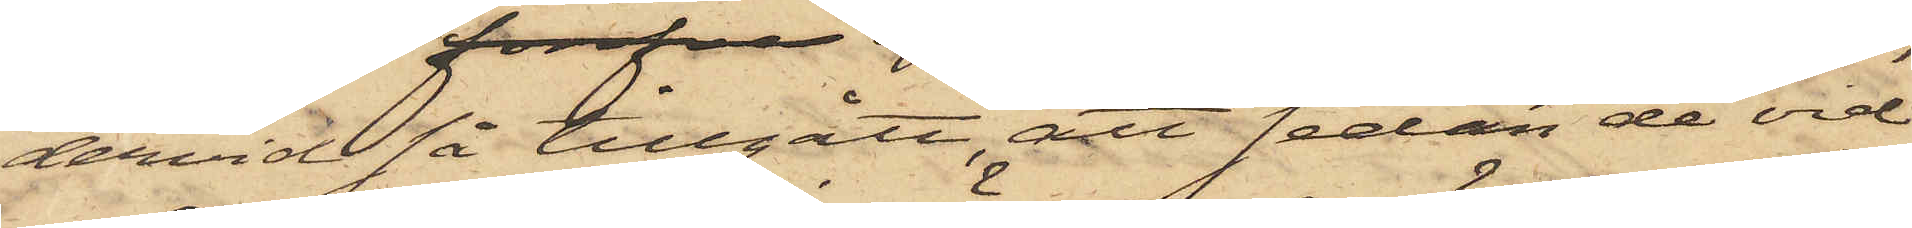dervid så tillgått, att sedan de vid
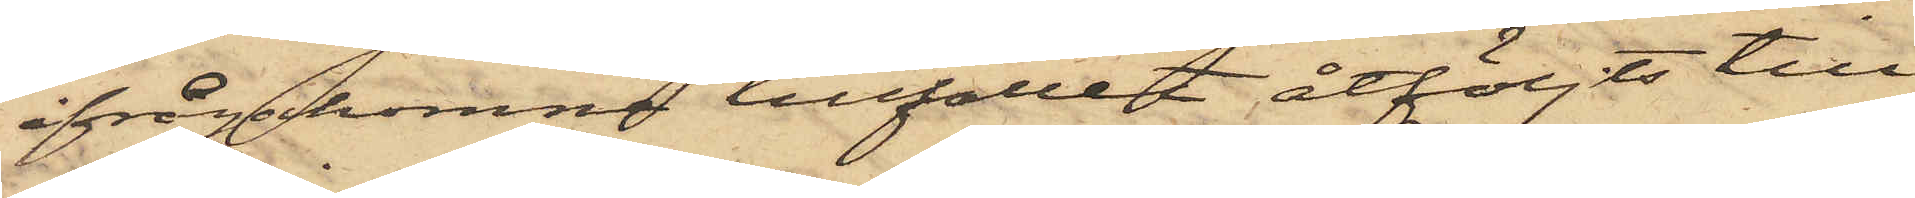ifrågakomne tillfället åtföljts till
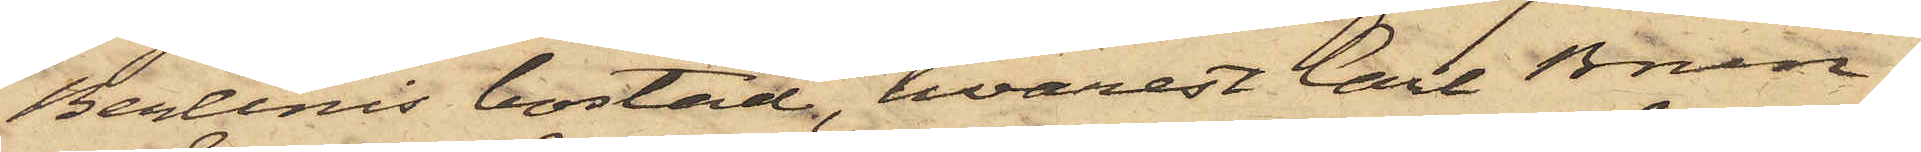Berlinis bostad, hvarest Carl Brun¬
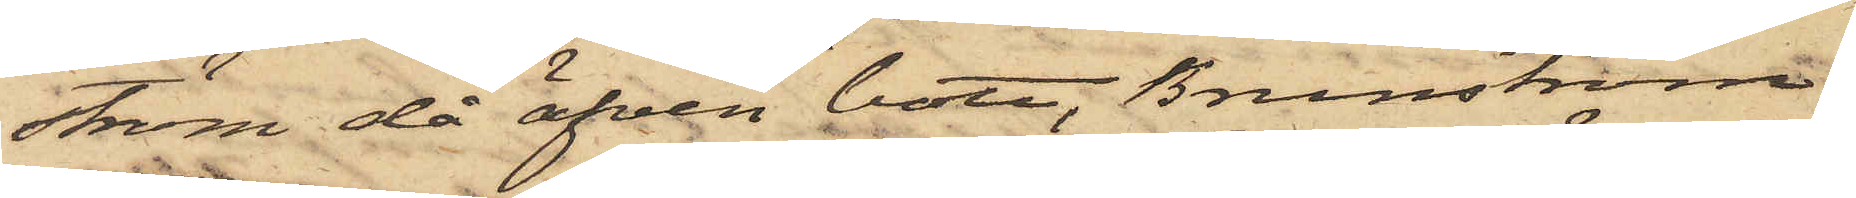stöm då äfven bott, Brunström
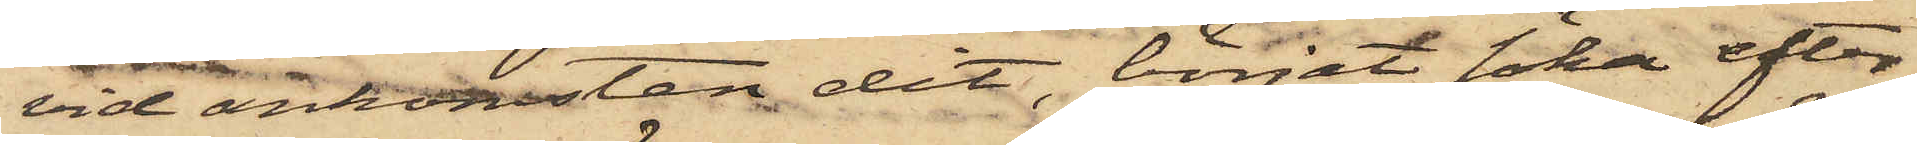vid ankomsten dit, börjat söka efter
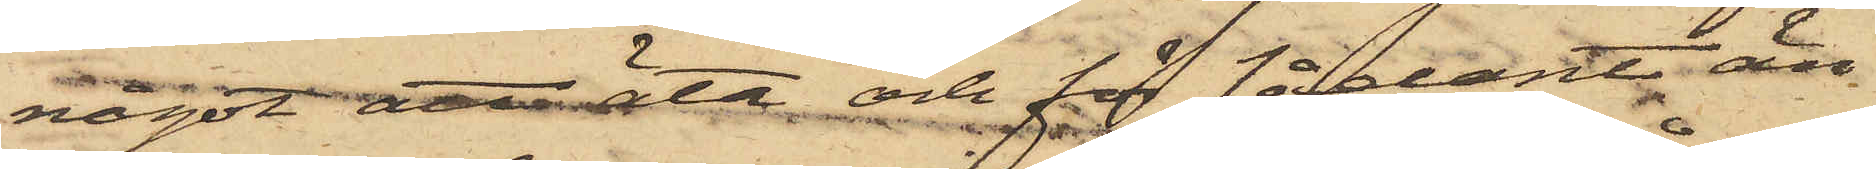något att äta och för sådant än¬
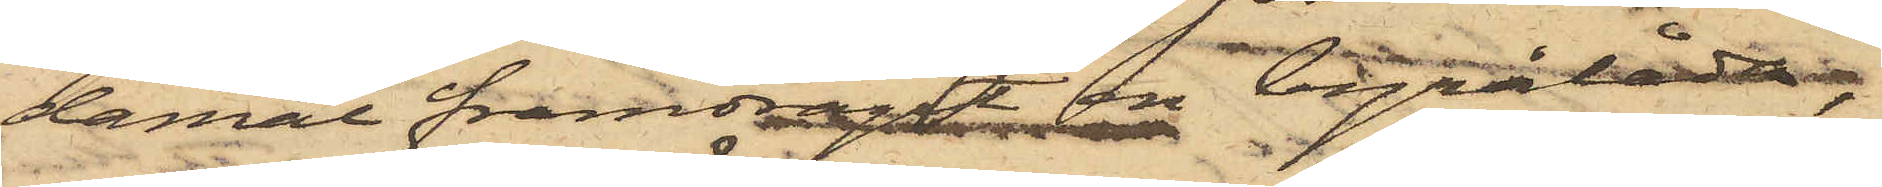damål framdragit en byrålåda,
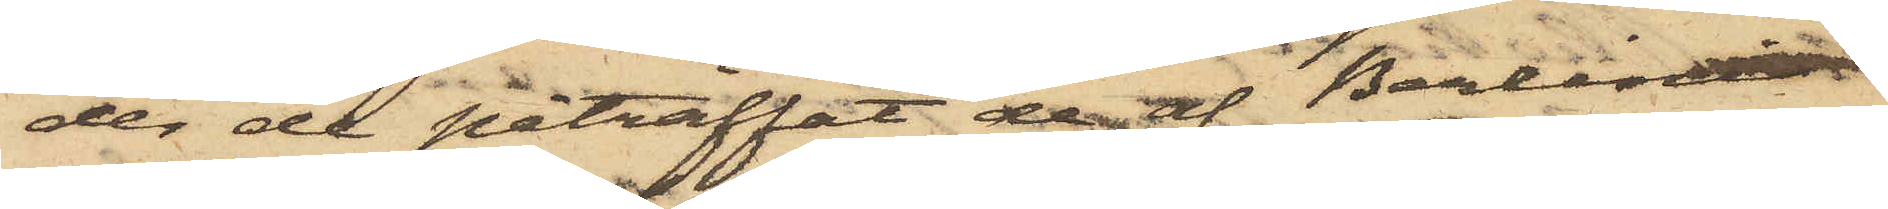der de påträffat de af Berlini
